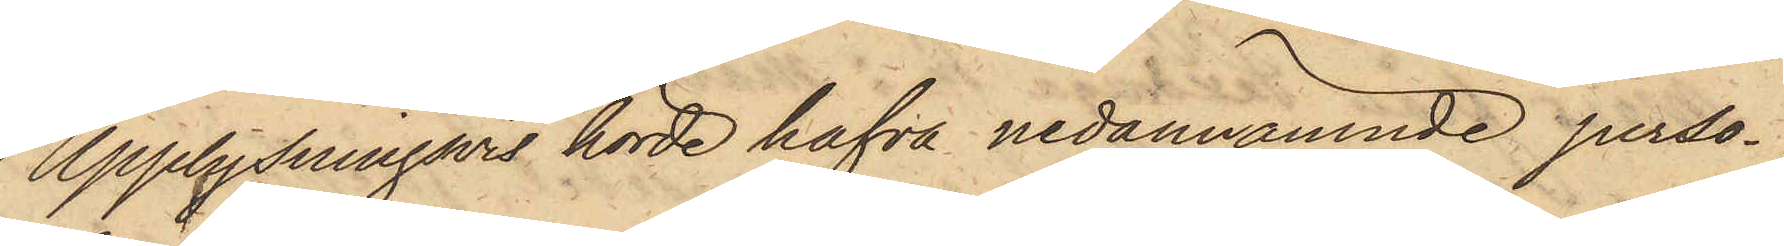Upplysningsvis hörde hafva nedannämnde perso¬
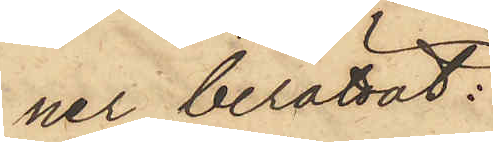ner berättat:
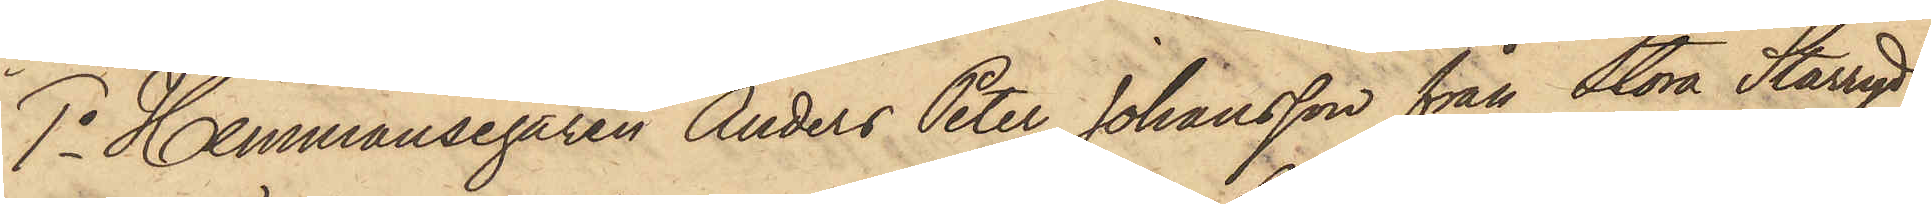1o Hemmansegaren Anders Peter Johansson från Stora Starryd
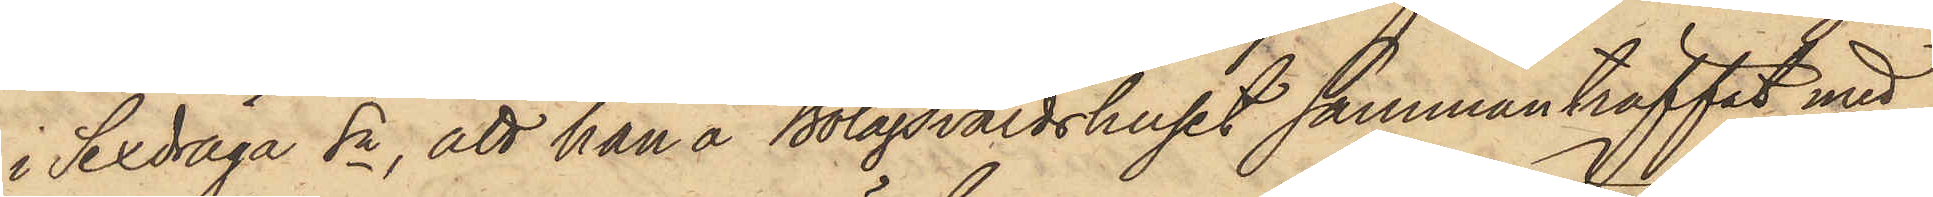i Sexdräga Sn, att han å Bolagsvärdshuset sammanträffat med
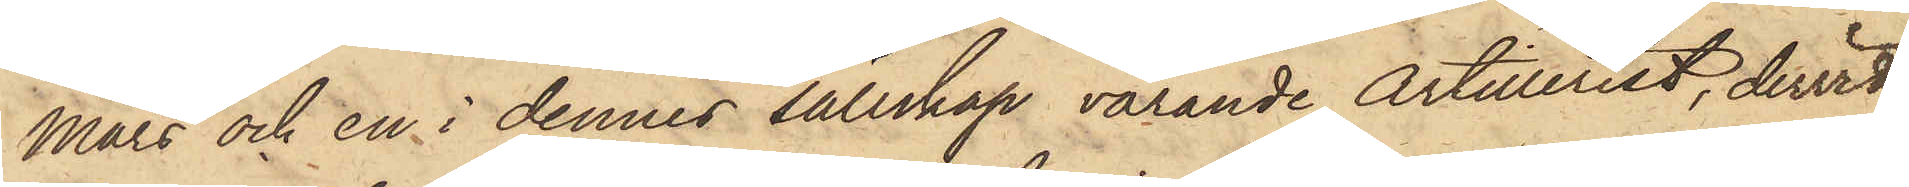Mars och en i dennes sällskap varande Artillerist, dervid
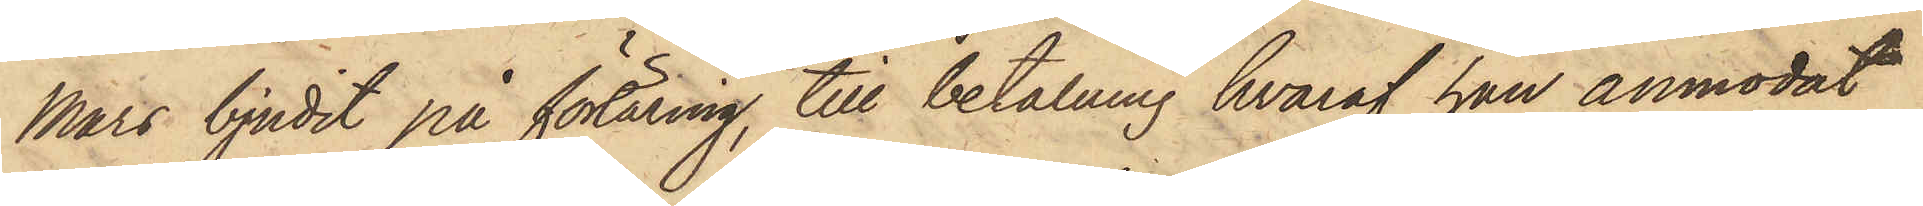Mars bjudit på förtäring, till betalning hvaraf han anmodat
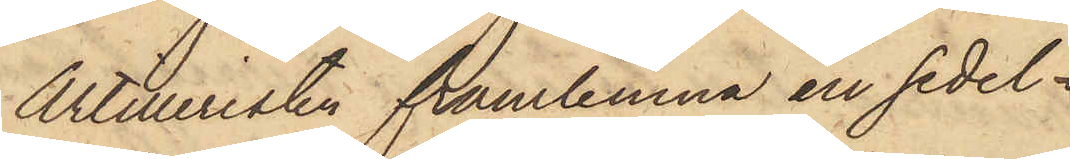Artilleristen framlemna en sedel,
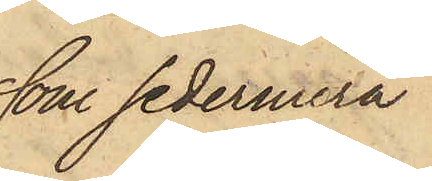som sedermera
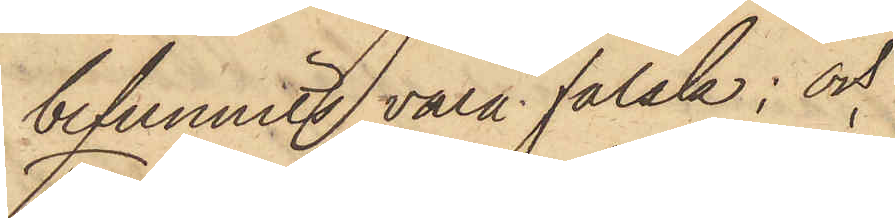befunnits vara falsk; och
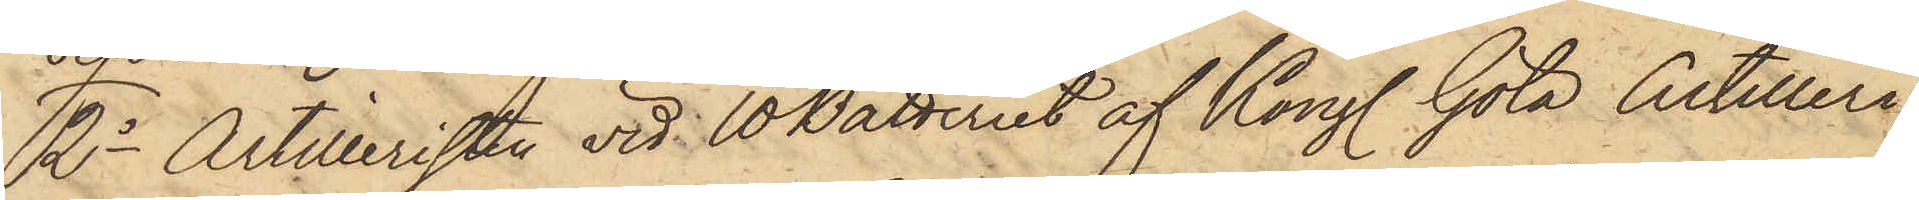2o Artilleristen vid 10 Batteriet af Kongl Göta Artilleri¬
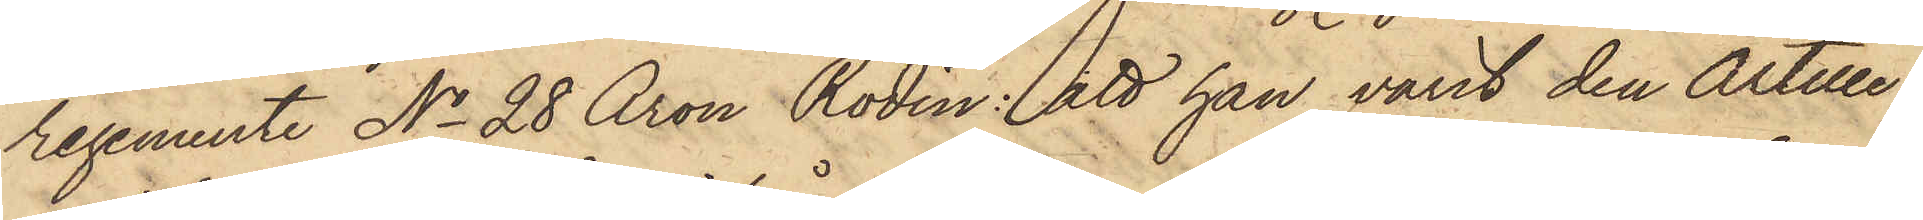regemente No 28 Aron Rodin: att han varit den Artille¬
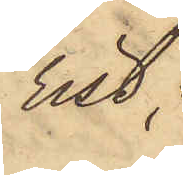rist,
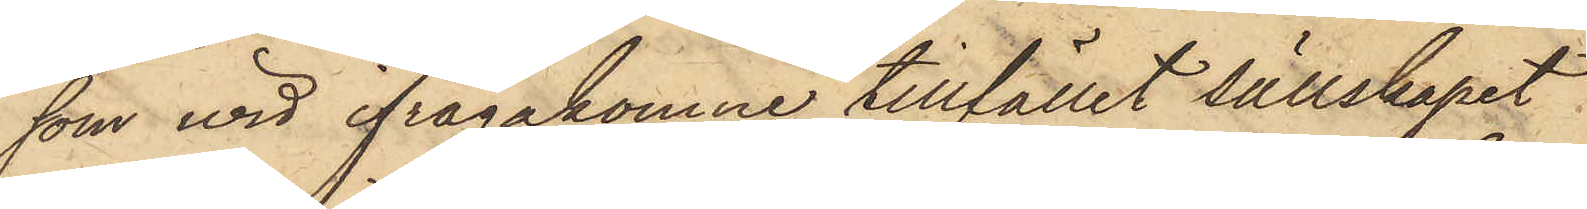som wid ifrågakomne tillfället sällskapat
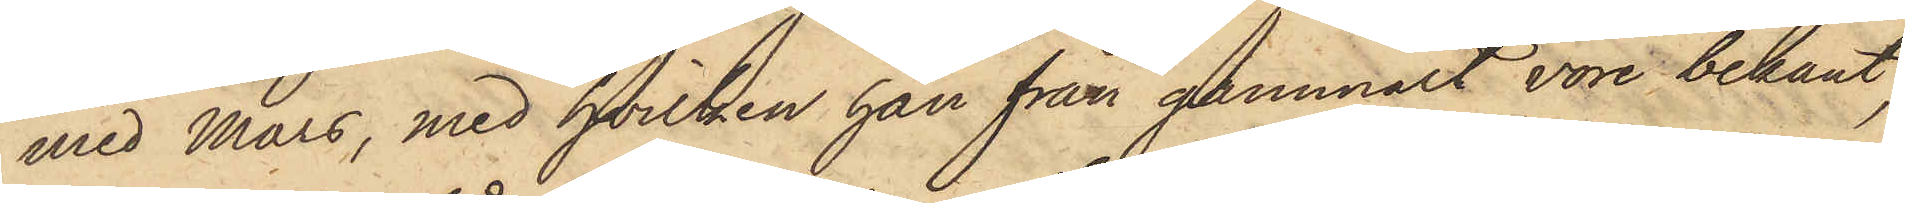med Mars, med hvilken han från gammalt vore bekant,
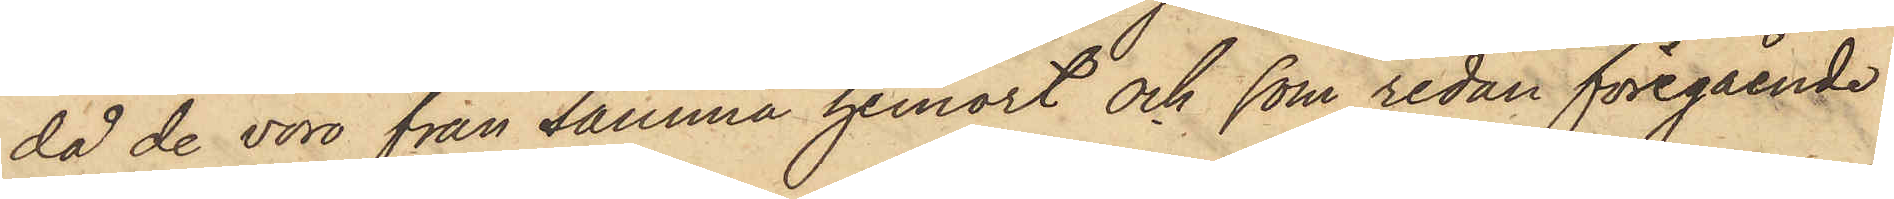då de voro från samma hemort och som redan föregående
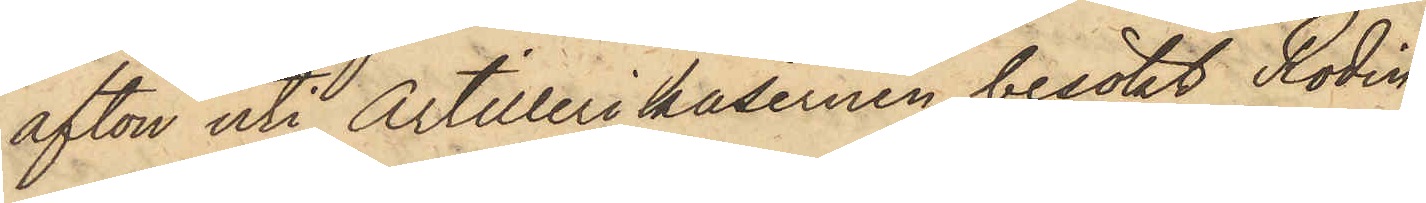afton uti Artillerikasernen besökt Rodin;
